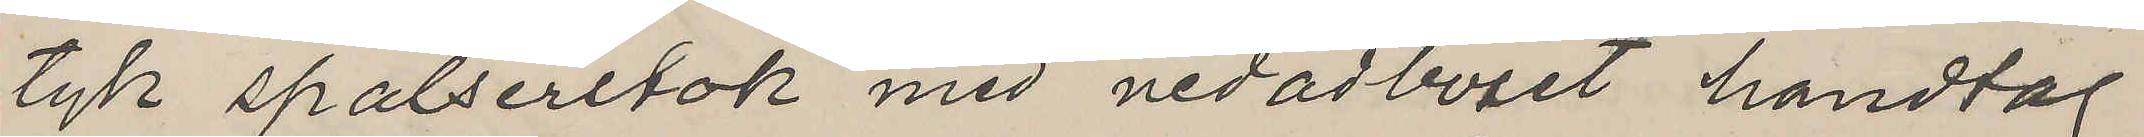tyk spalserstok med nedadböjet handtag
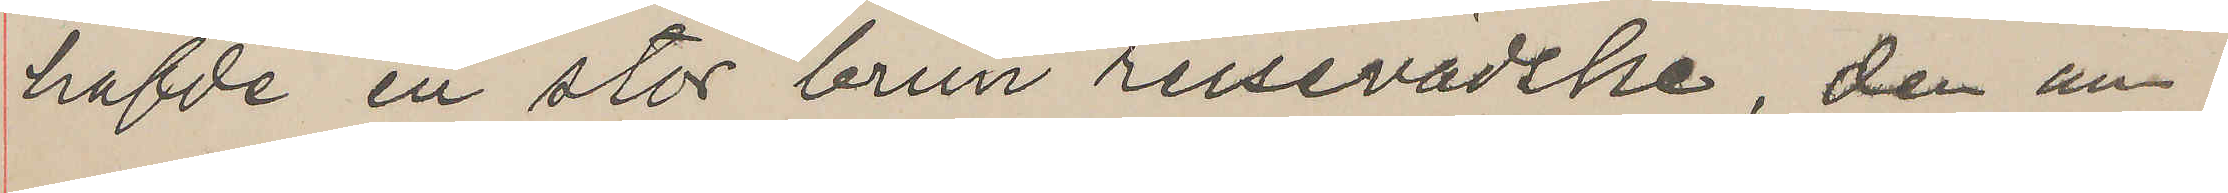hafde en stor brun reisevädske, den an¬
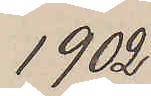1902
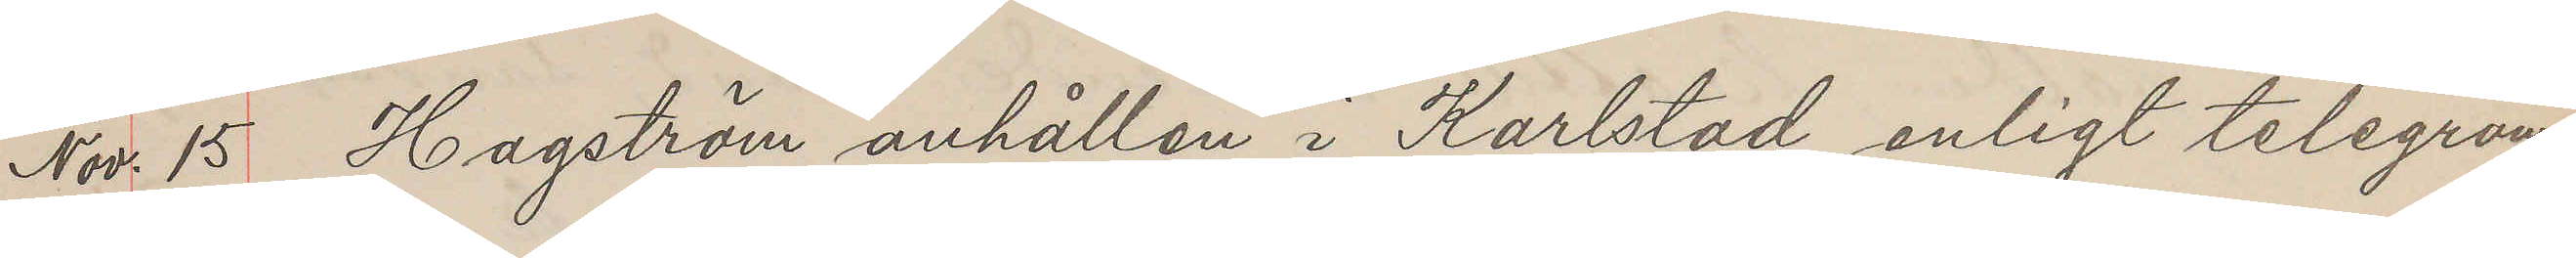Nov. 15 Hagström anhållen i Karlstad enligt telegram
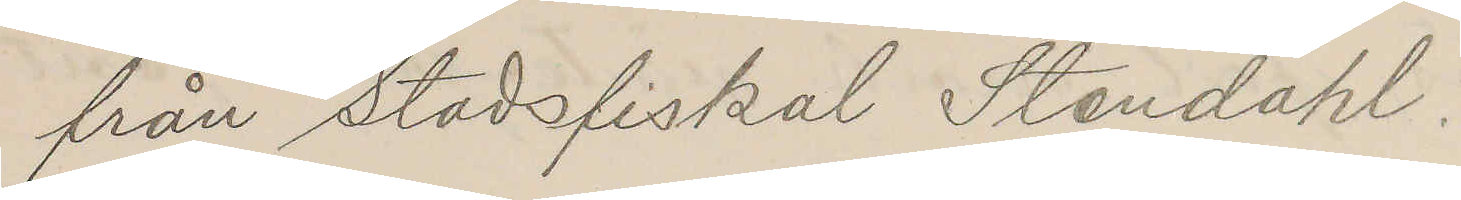från stadsfiskal Stendahl.
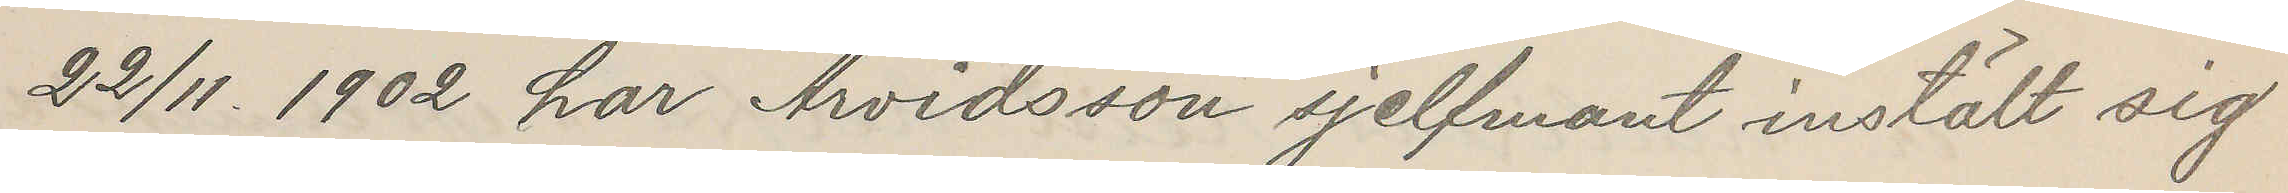22/11. 1902 har Arvidsson sjelfmant instält sig
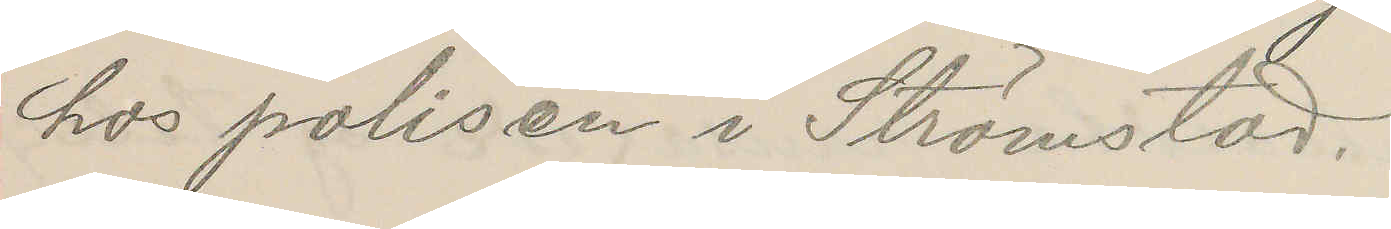hos polisen i Strömstad.
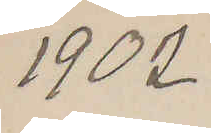1902
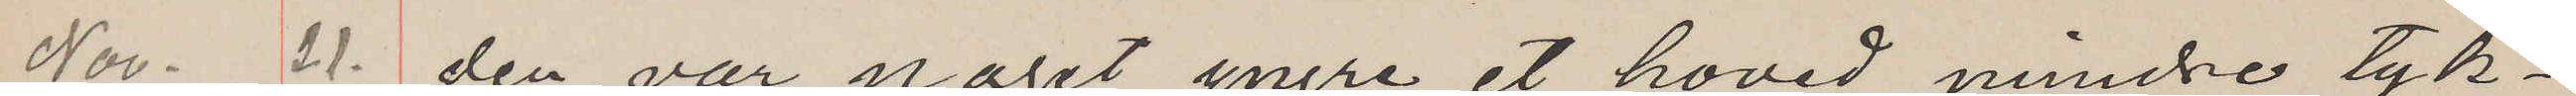Nov. 21. den var naget yngre, et hoved mindre tyk¬
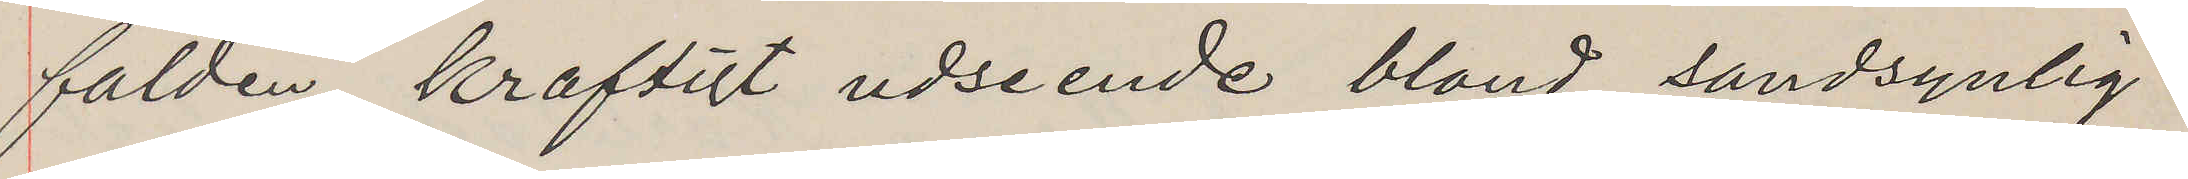falden, kraftigt udseende blond, sandsynlig¬
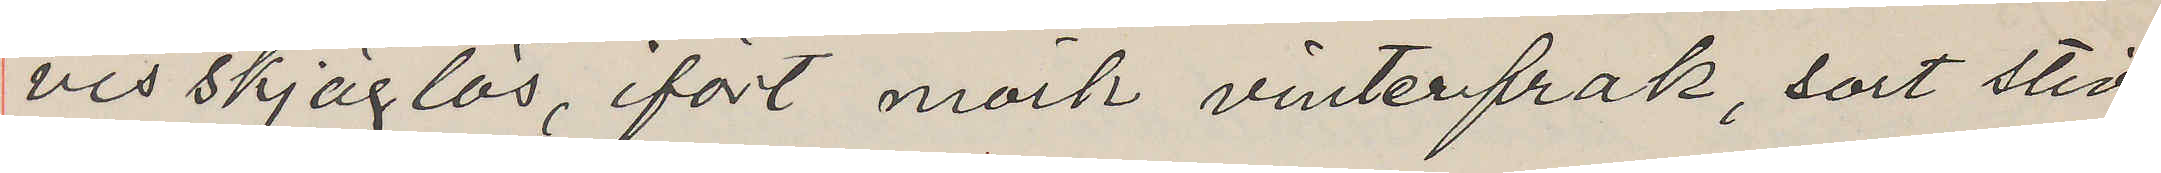vis skjäglös, ifört mörk vinterfrak, sort stid
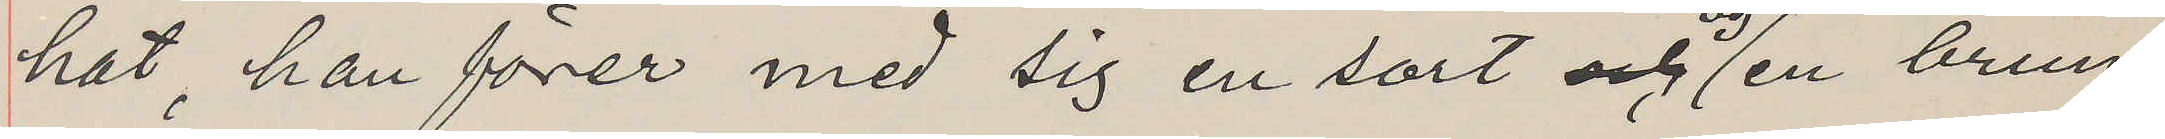hat, han förer med sig en sort og en brun
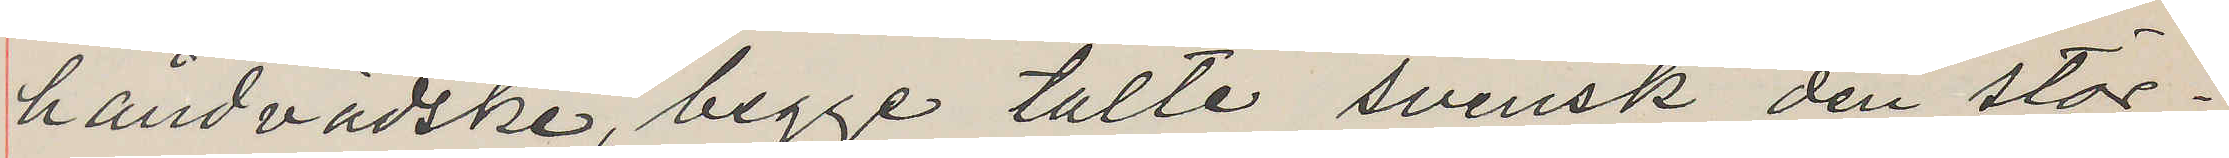håndvädske, begge talte svensk den stör¬
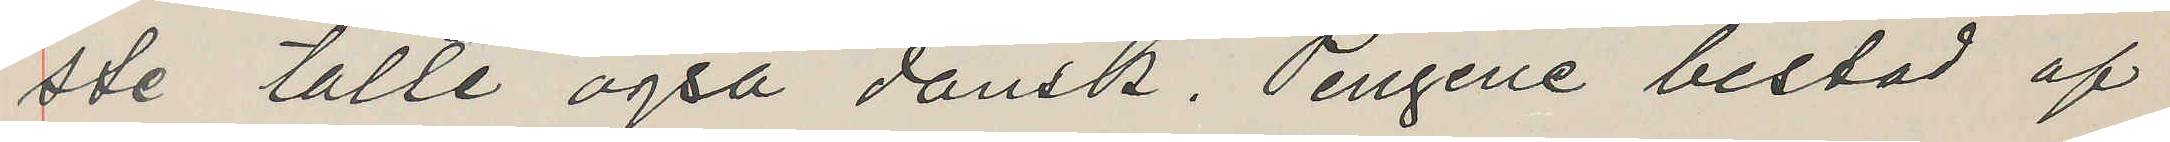ste talte også dansk. Pengene bestod af
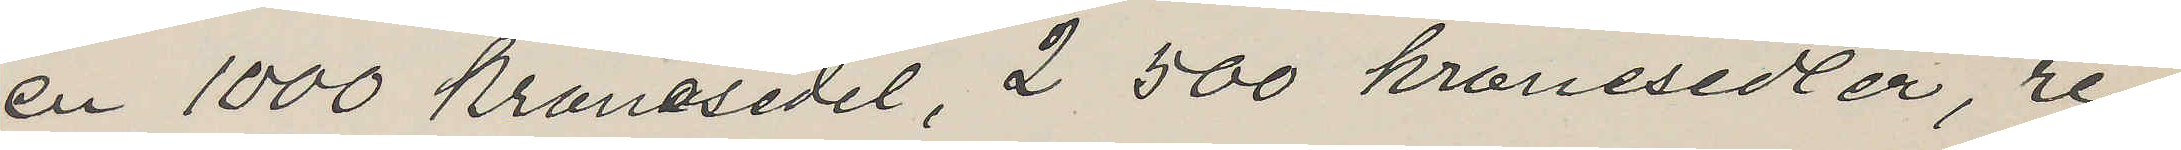en 1000 Kronosedel, 2 500 kronesedler, re¬
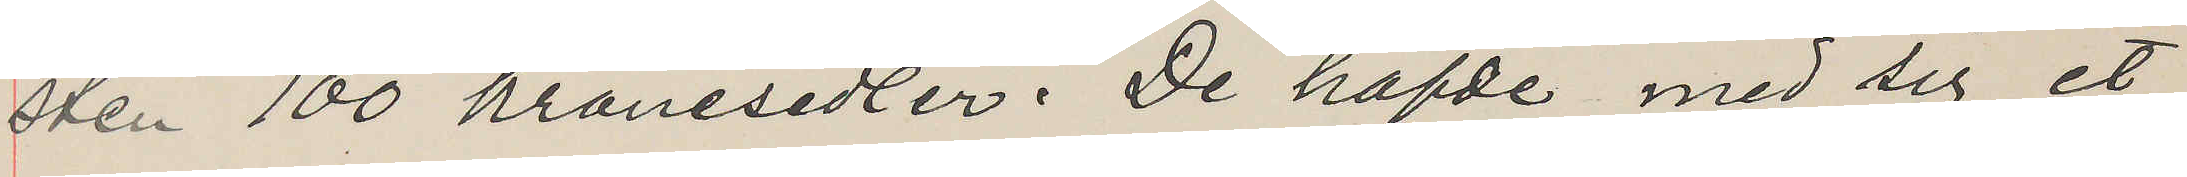sten 100 kronesedlar. De hafde med sig et
